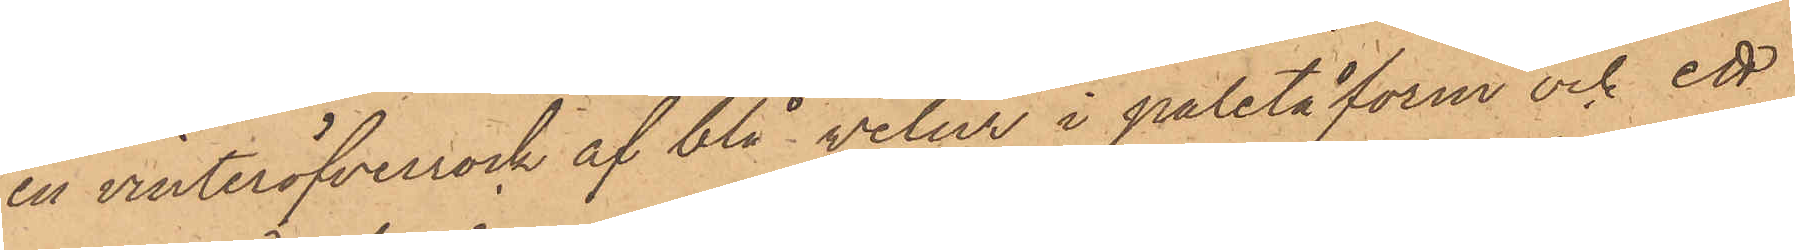en vinteröfverrock af blå velur i paletåform och ett
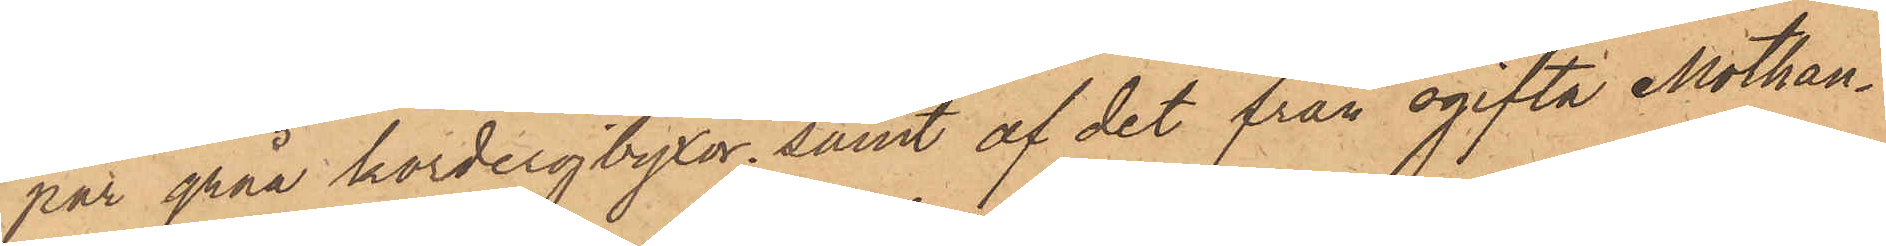par gråa korderojbyxor, samt af det från ogifta Mothan¬
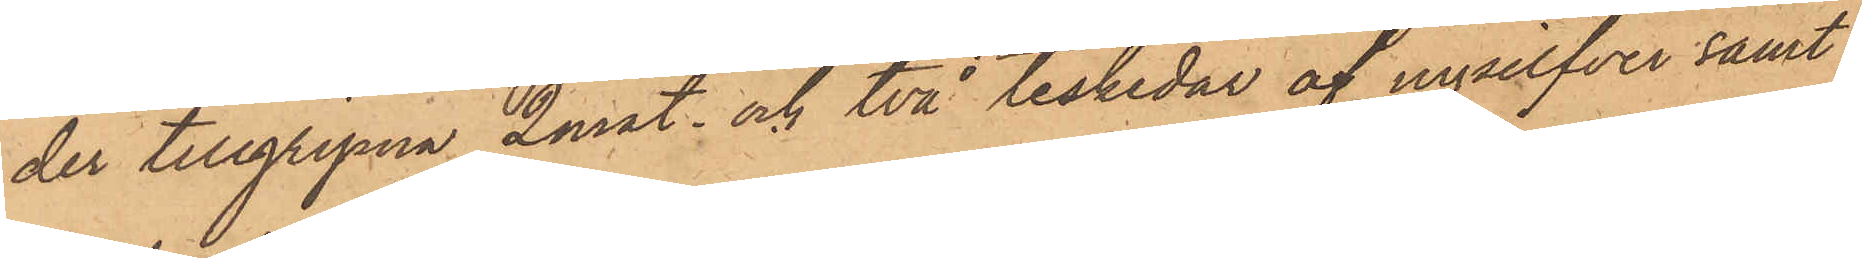der tillgripna 2 mat. och två teskedar af nysilfver samt
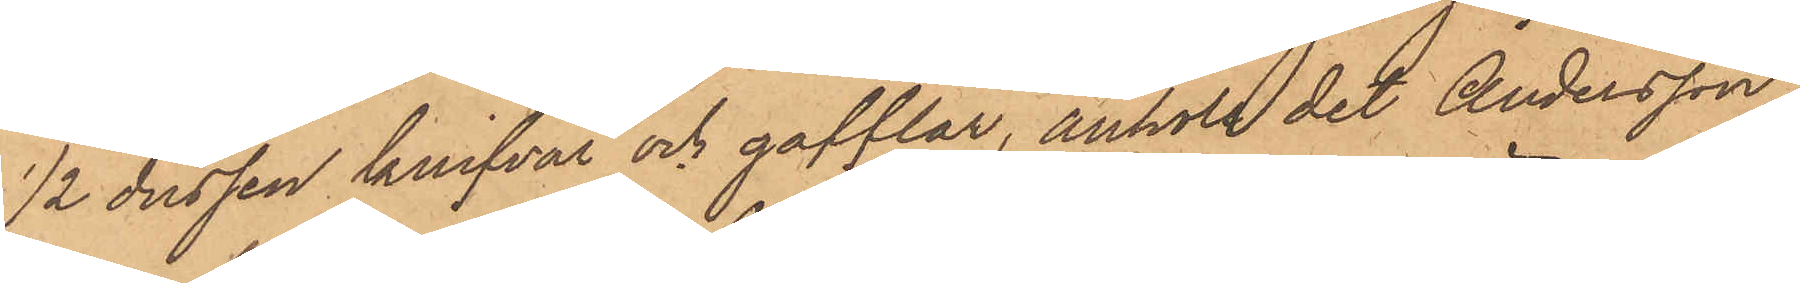1/2 dussin knifvar och gafflar, anhöll det Andersson
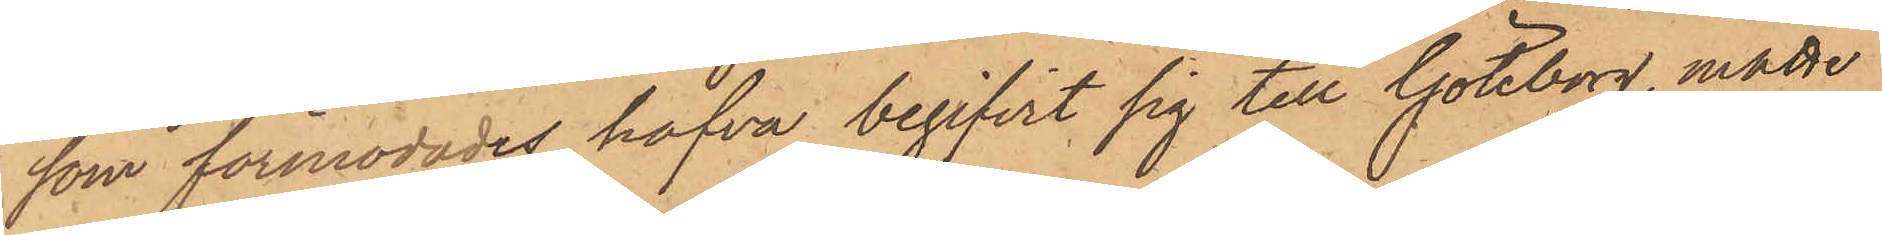som förmodades hafva begifvit sig till Göteborg, måtte
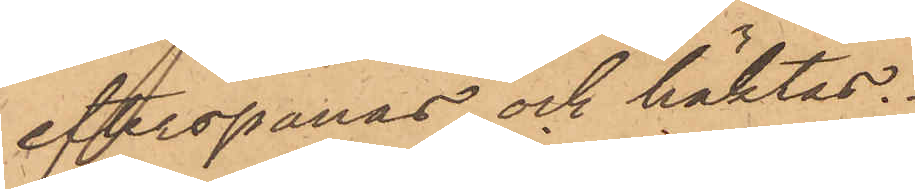efterspanas och häktas.
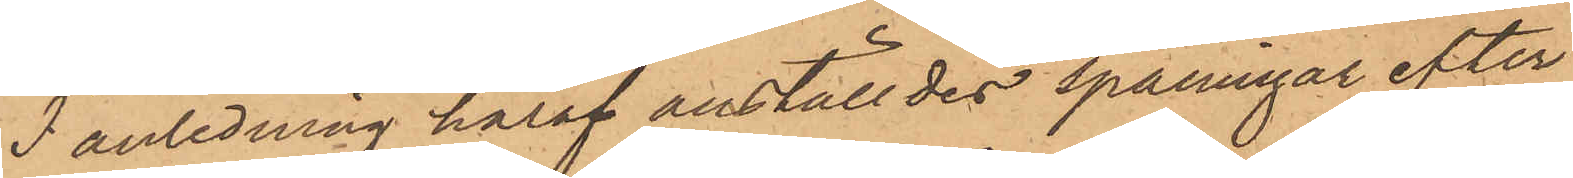I anledning häraf anställdes spaningar efter
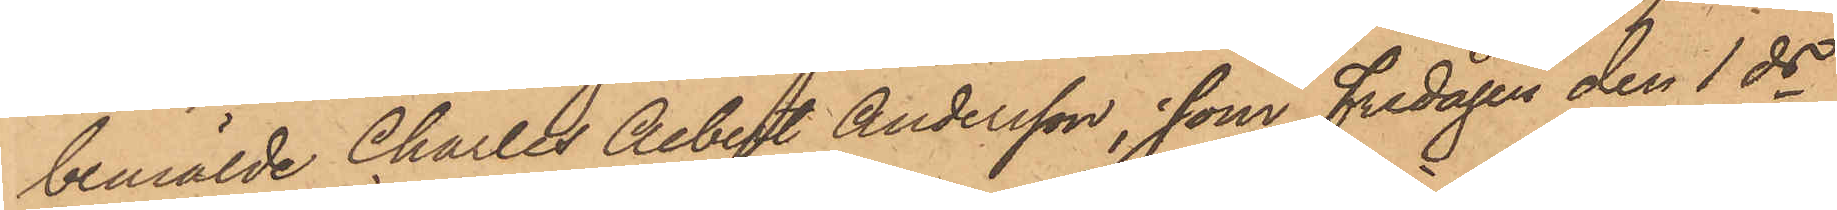bemälde Charles Albert Andersson, som Fredagen den 1 ds
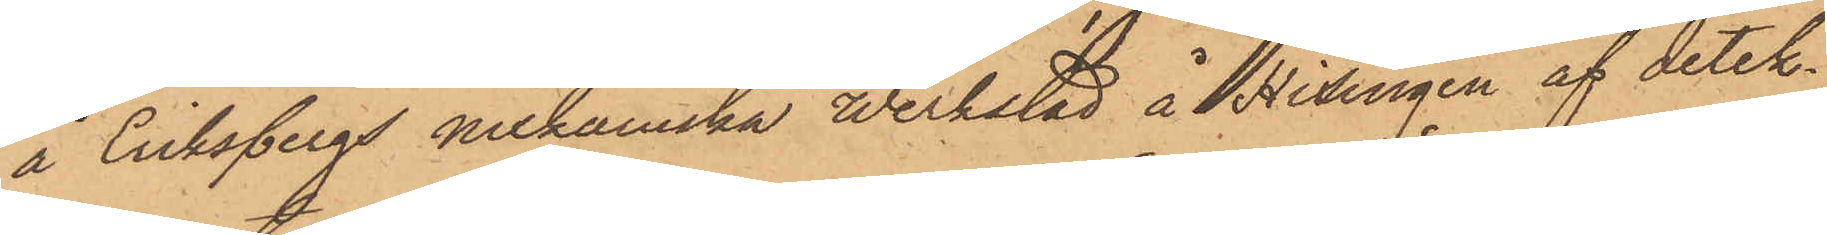å Eriksbergs mekaniska verkstad å Hisingen af detek¬
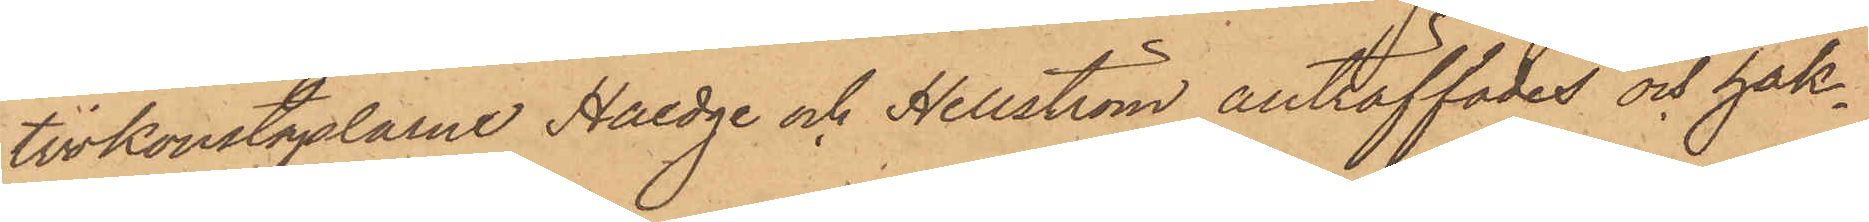tivkonstaplarne Haedge och Hellström anträffades och häk¬
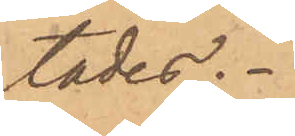tades.
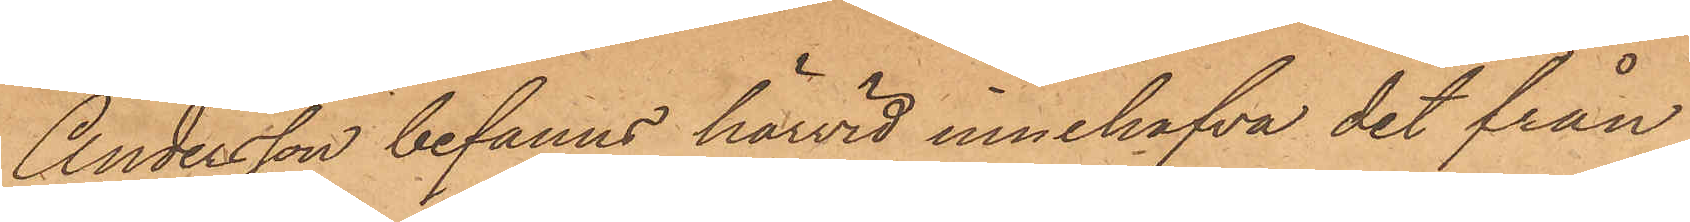Andersson befanns härvid innehafva det från
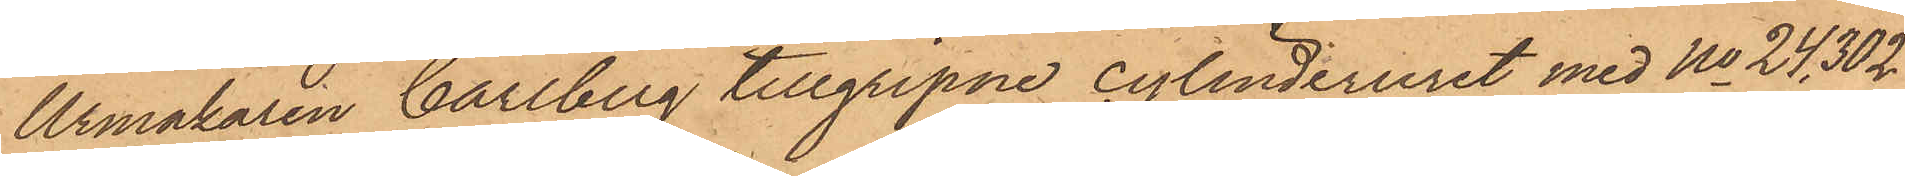Urmakaren Carlberg tillgripne cylinderuret med No 24302
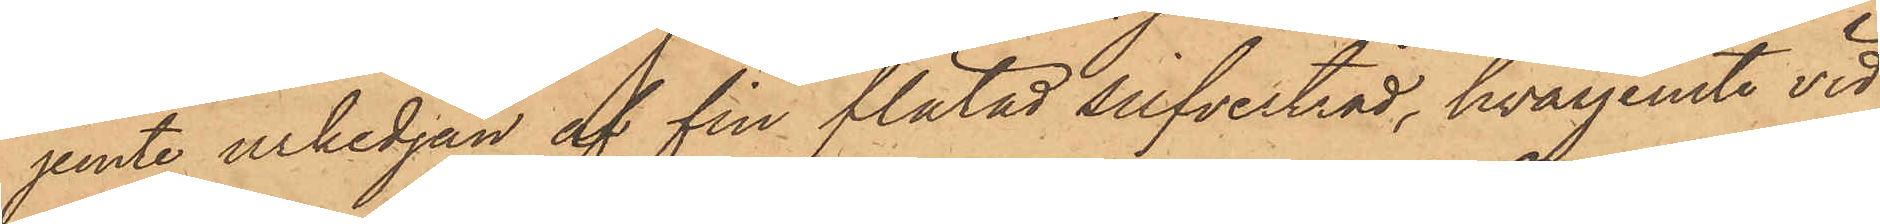jemte urkedjan af fin flätad silfvertråd, hvarjemte vid
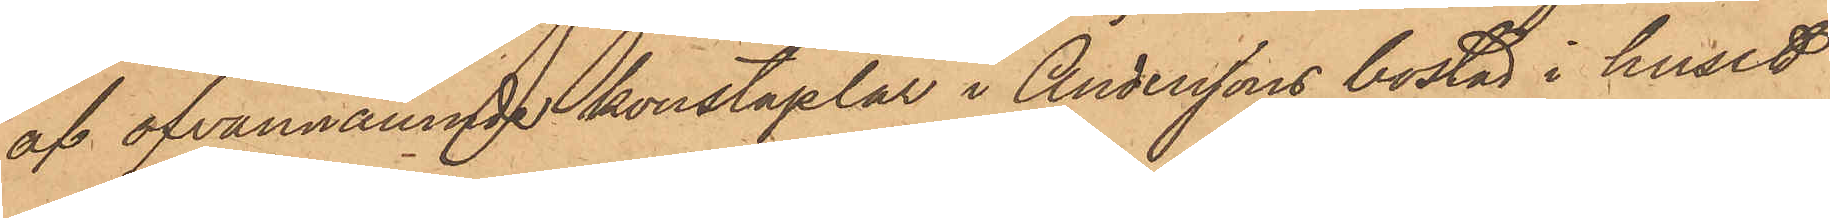af ofvannämnde konstaplar i Anderssons bostad i huset
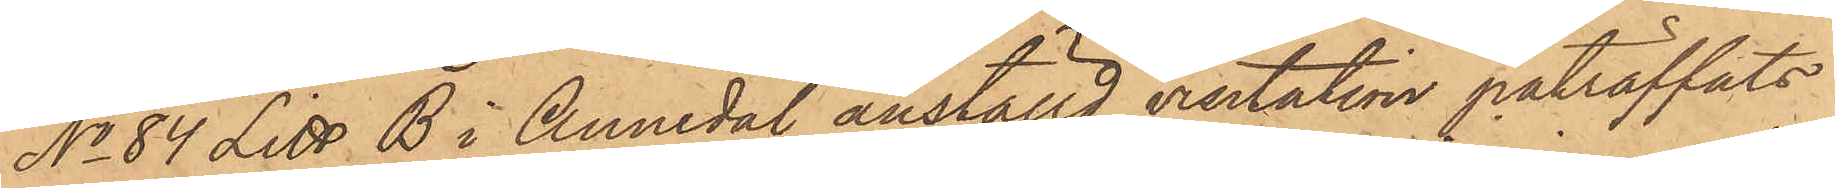No 84 Litt. B i Annedal anställd visitation påträffats
